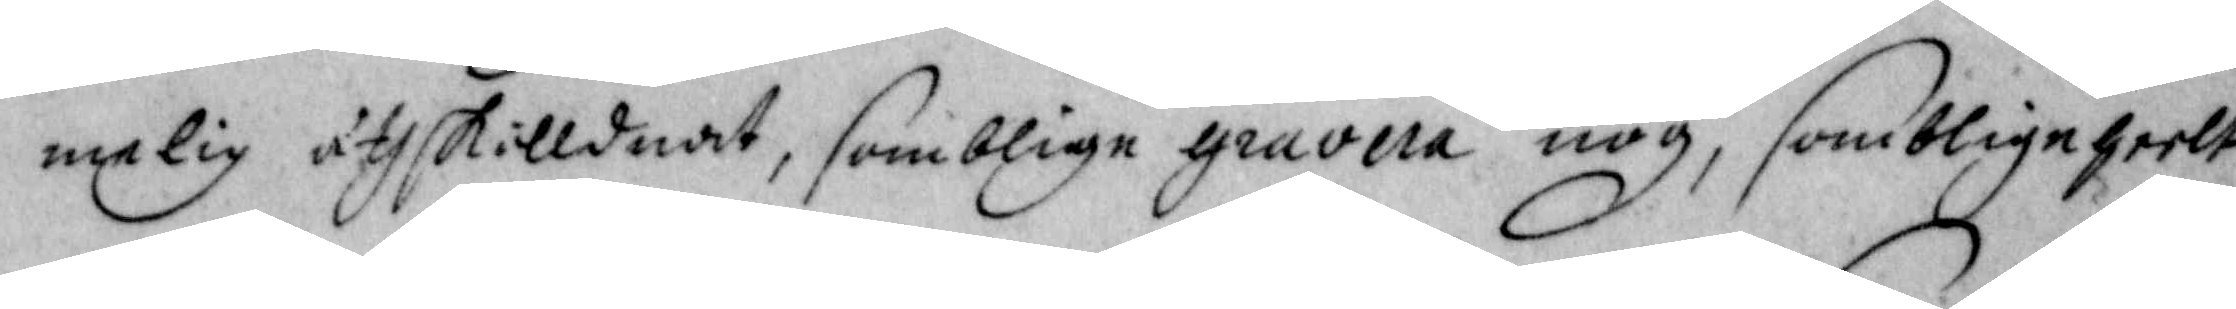melig åthskilldnat, somblige gravera nog, somblige heelt
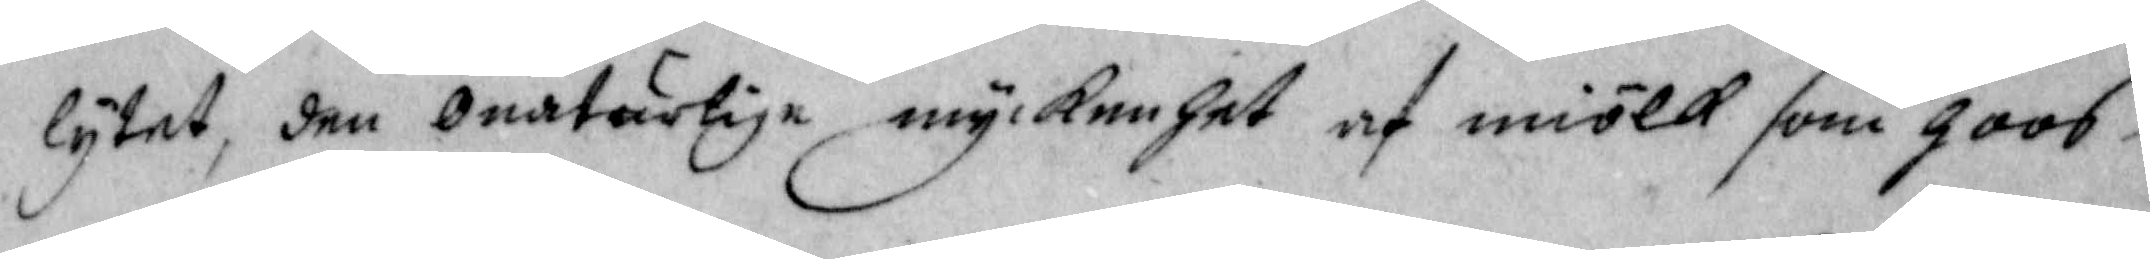lytet, den onaturlige myckenhet af miölk som hoos
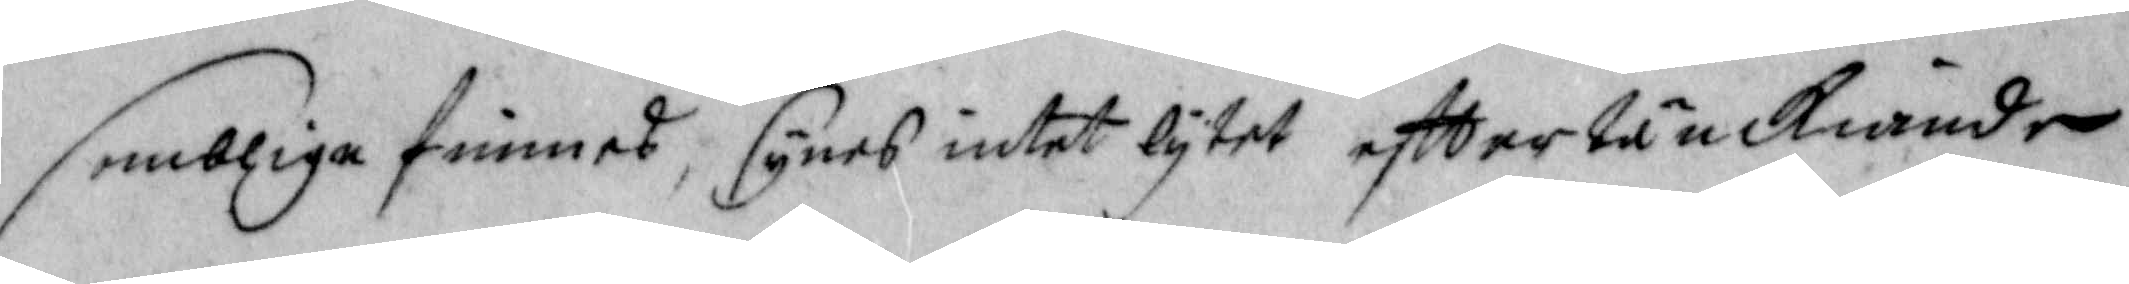somblige finnes, synes intet lytet efttertänckiande
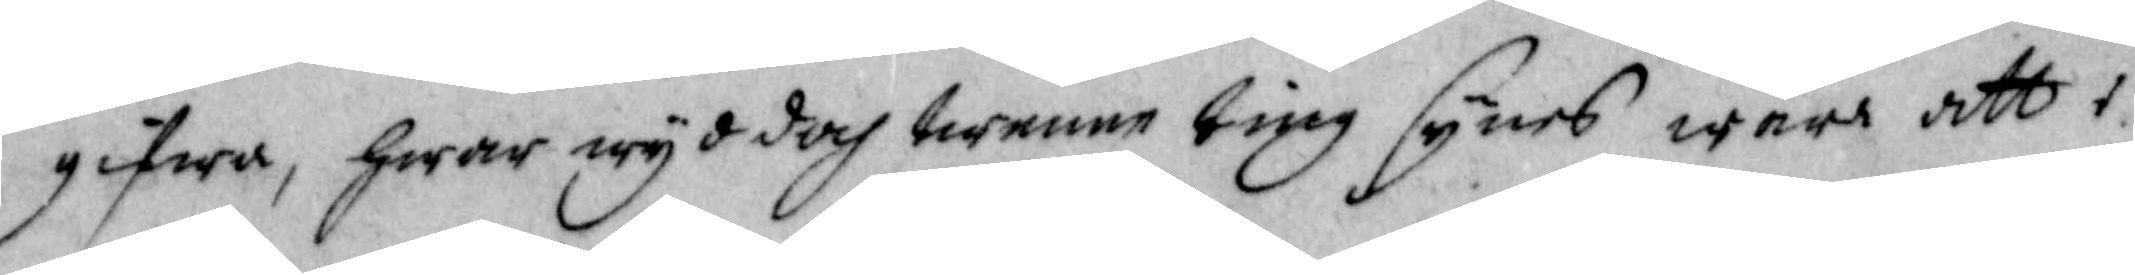gifwa, hwar wyd doch twenne ting synes ware att i
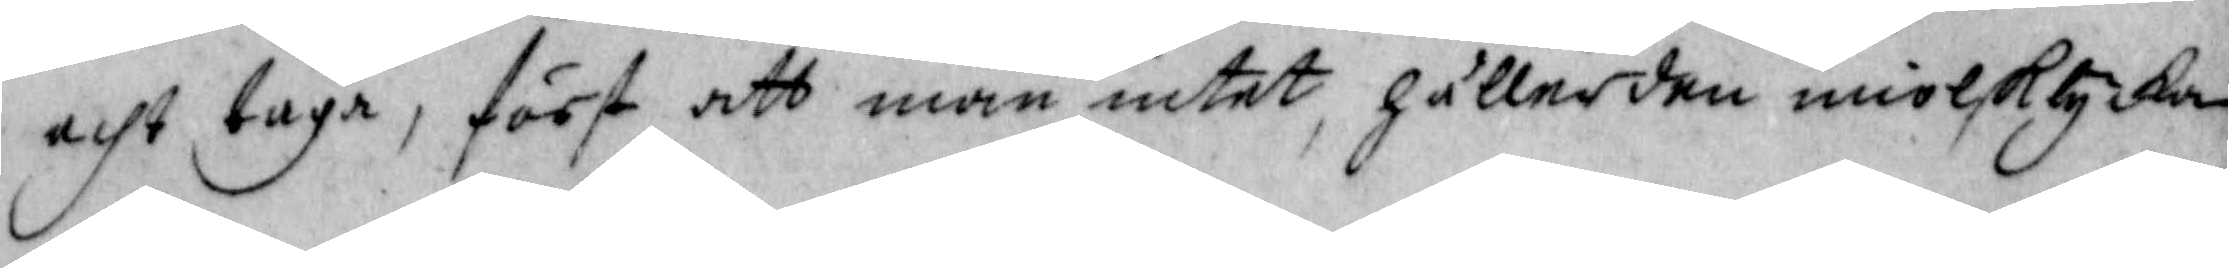acht taga, först att man intet håller dem miolklycka
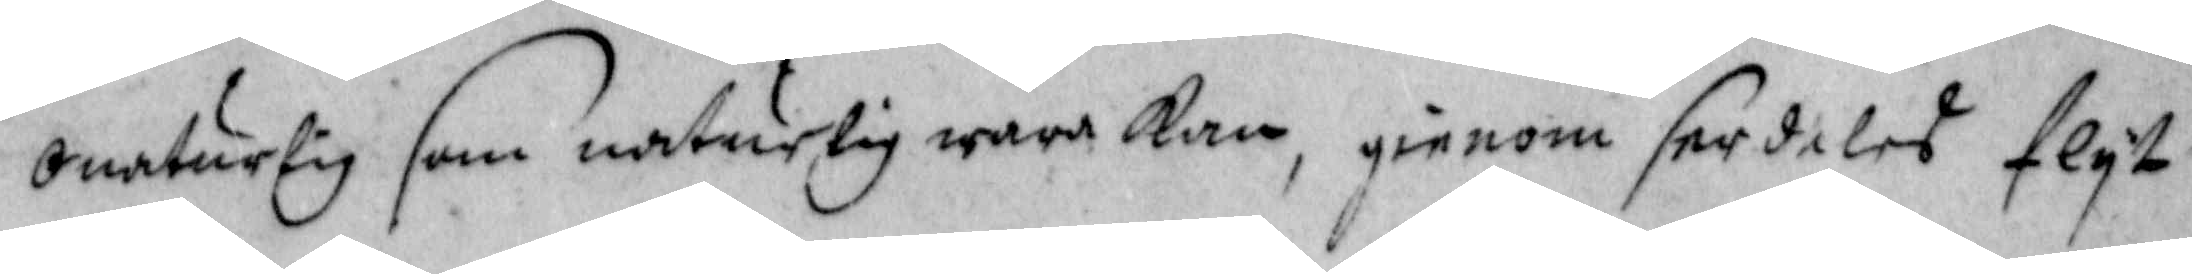onaturlig som naturlig wara kan, gienom serdeles flyt
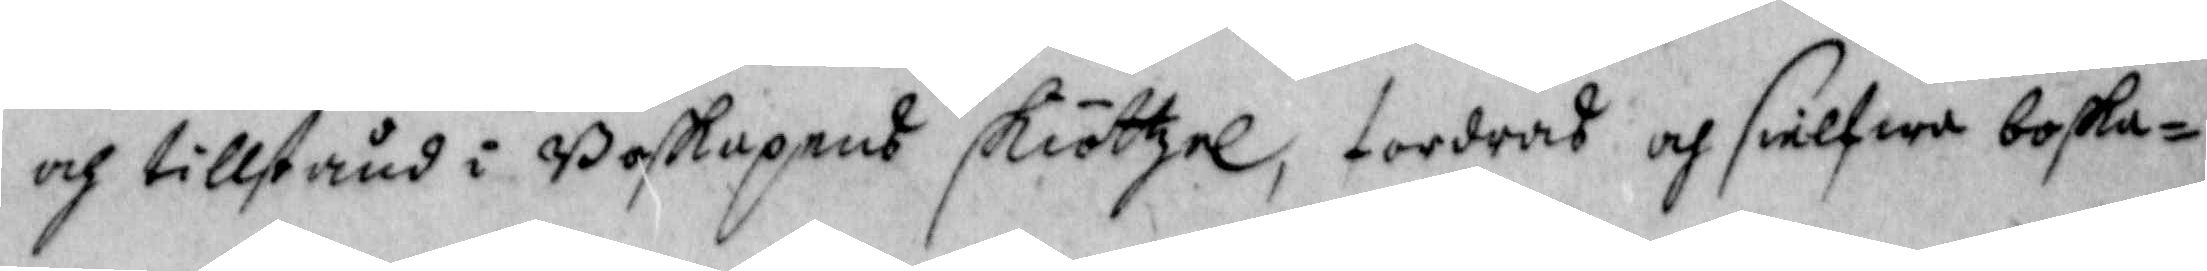och tillstånd i Boskapens skiöttzel, fordras och sielfwe boska¬
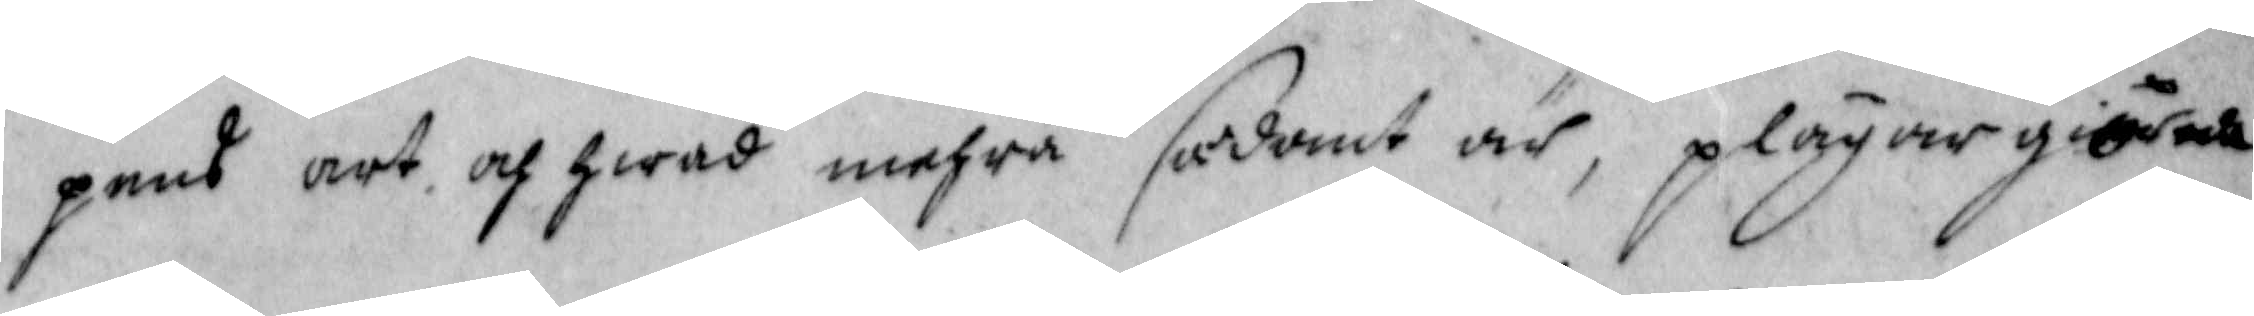pens art och hwad mehra sådant är, plägar giöra
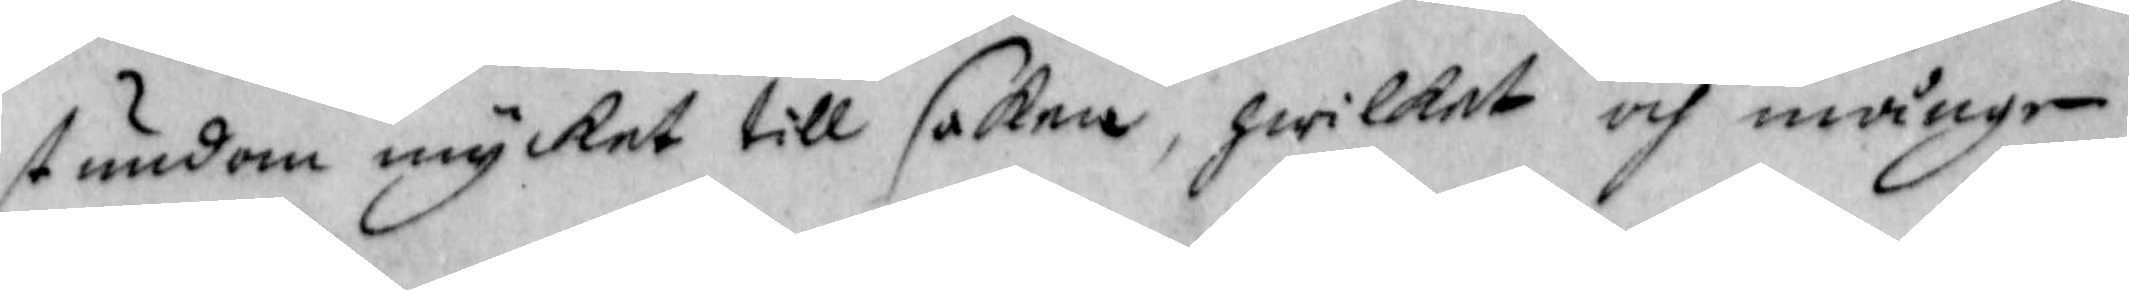stundom mycket till saken, hwilket och månge
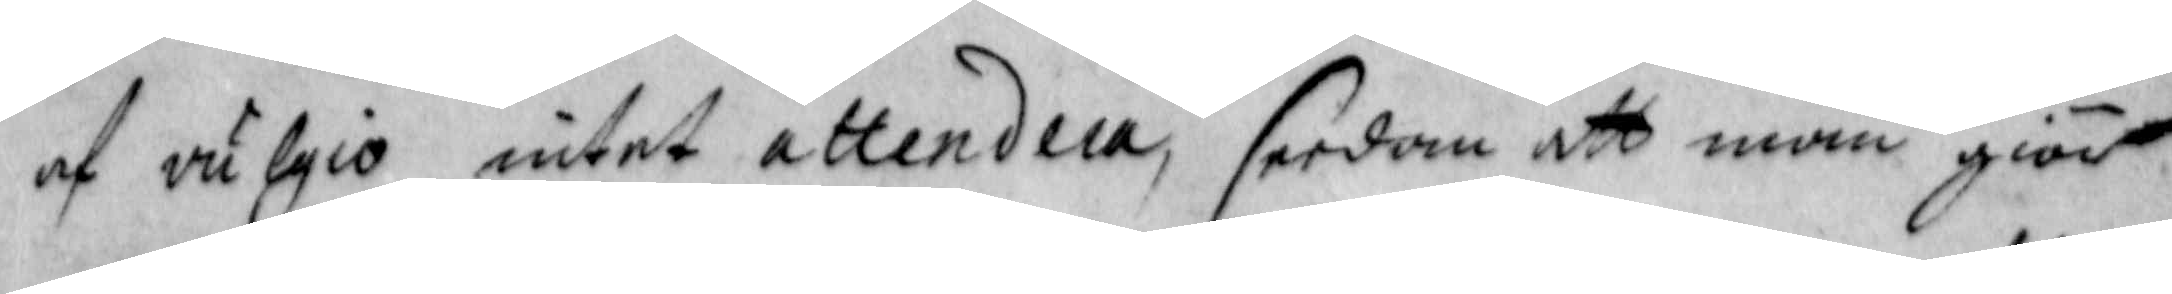af vulgio intet attendera, sedan att man giör
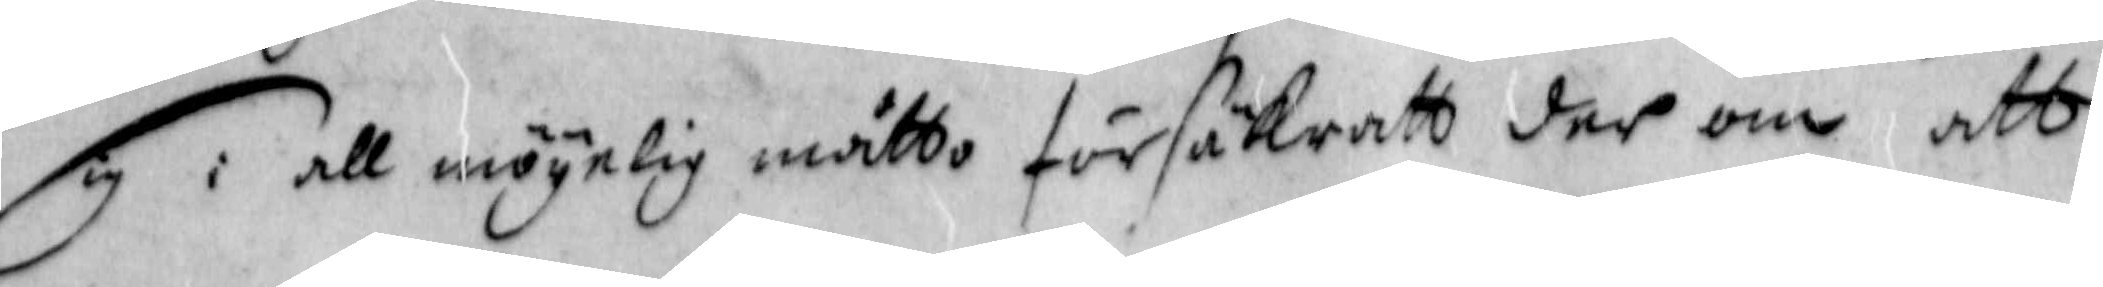sig i all mögelig måtto försäkratt der om att
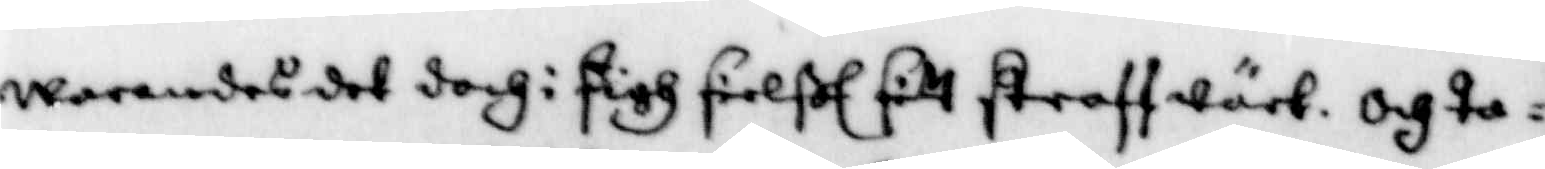warandes det doch i sigh sielßl sitt straff wälb. och ta¬
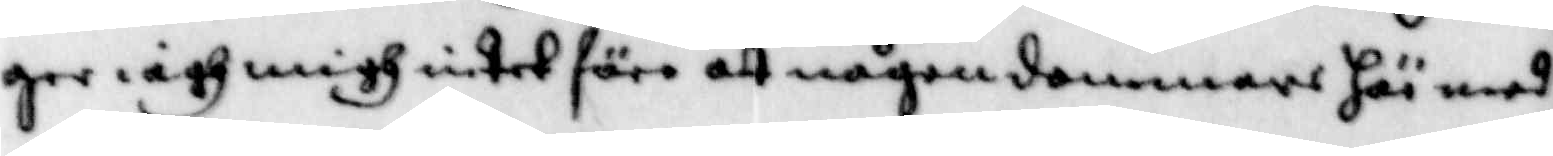ger iagh migh intet före att någon dommare här med
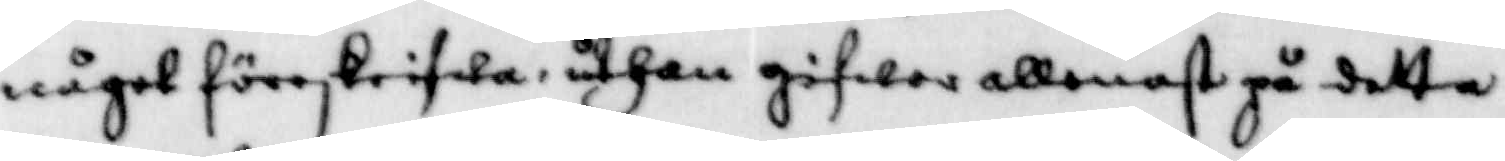något föreskrifwa, uthan gifwer allenast på detta
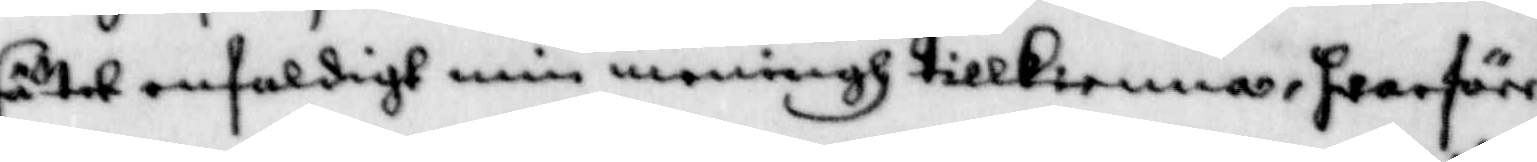sätet enfaldigh min meningh tillkienna, hwarföre
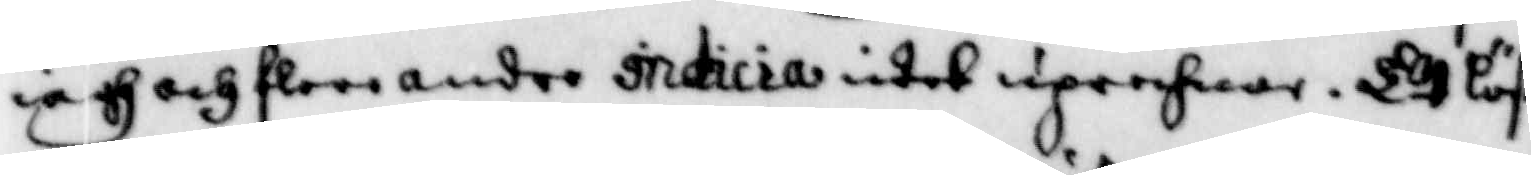iagh och flere andre indicia intet uprechnar. Et löst
